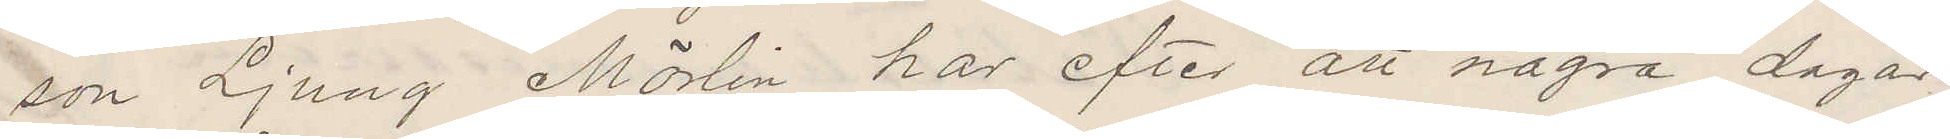son Ljung Mörlin har efter att några dagar
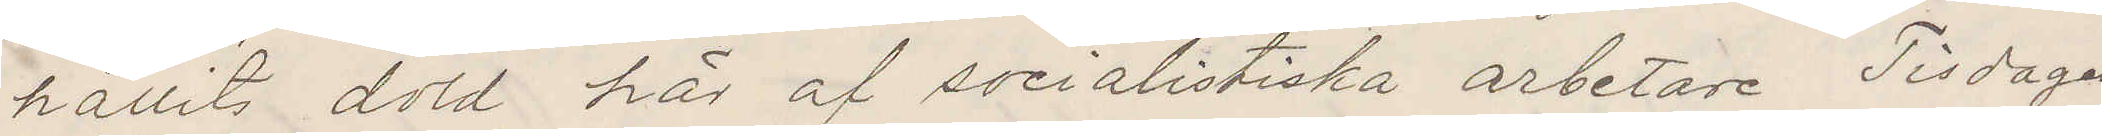hållits dold här af socialistiska arbetare Tisdagen
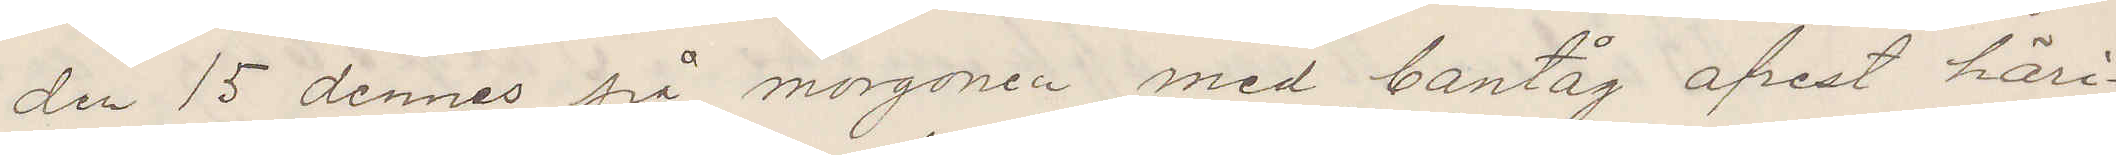den 15 dennes på morgonen med bantåg afrest häri¬
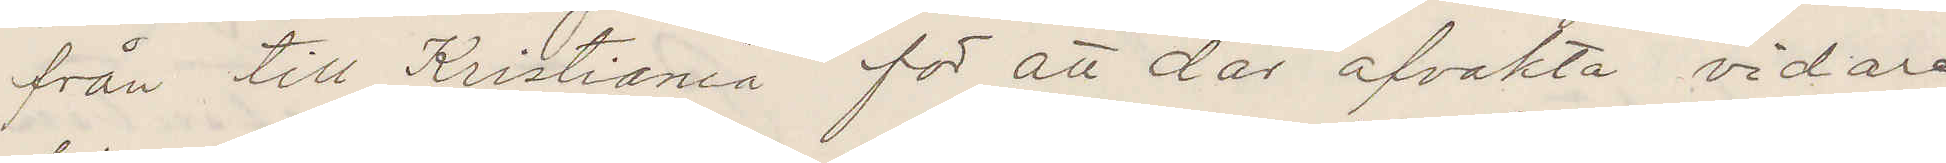från till Kristiania for att där afvakta vidare
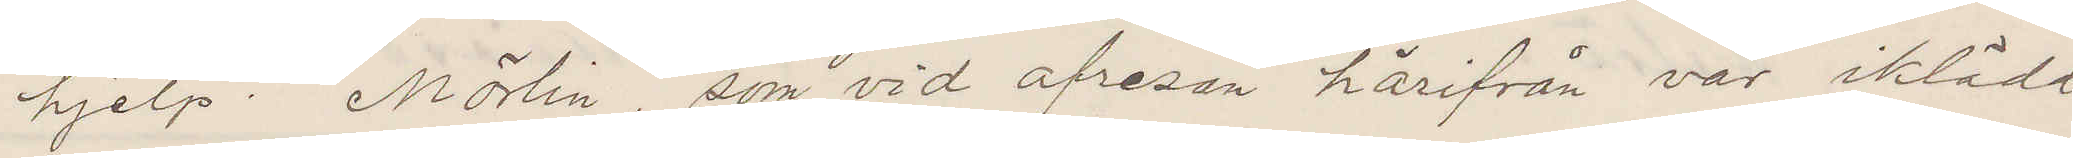hjelp. Mörlin, som vid afresan härifrån var iklädd
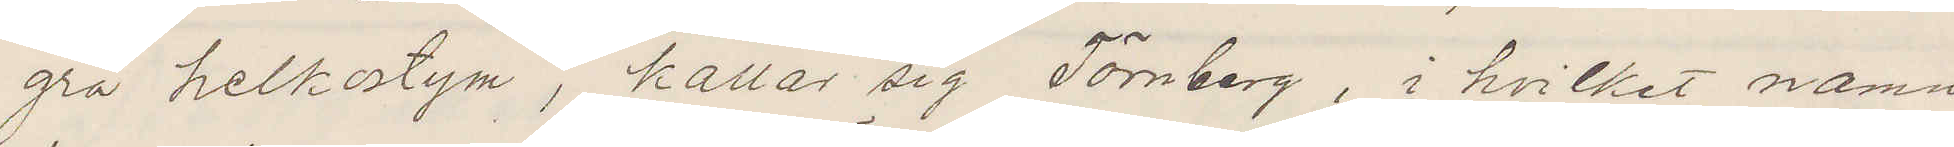grå helkostym, kallar sig Törnberg, i hvilket namn
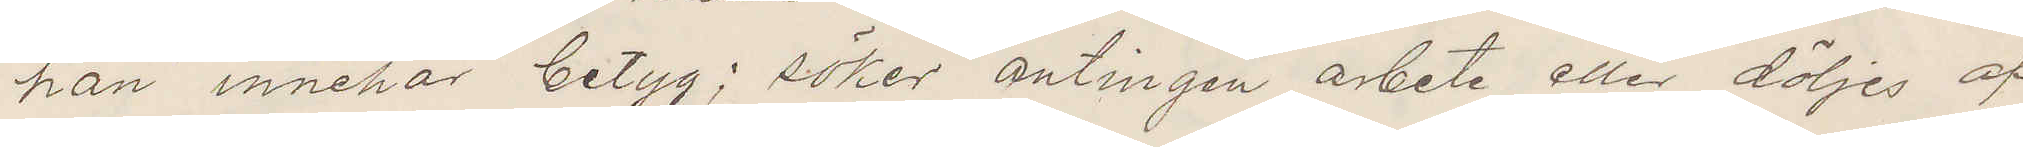han innehar betyg; söker antingen arbete eller döljes af
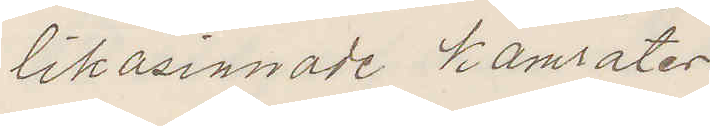likasinnade kamrater.
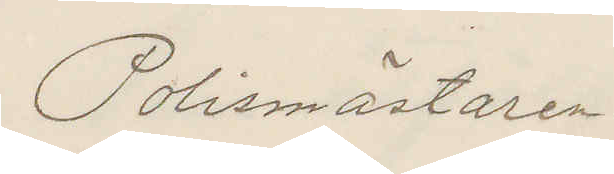Polismästaren
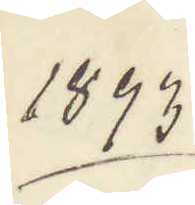1893
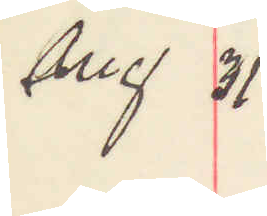Aug 31.
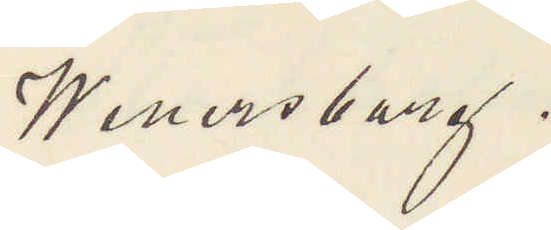Wenersborg.
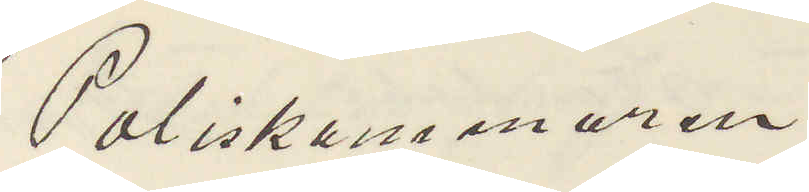Poliskammaren
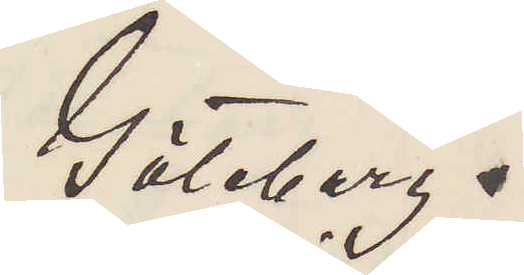Göteborg.
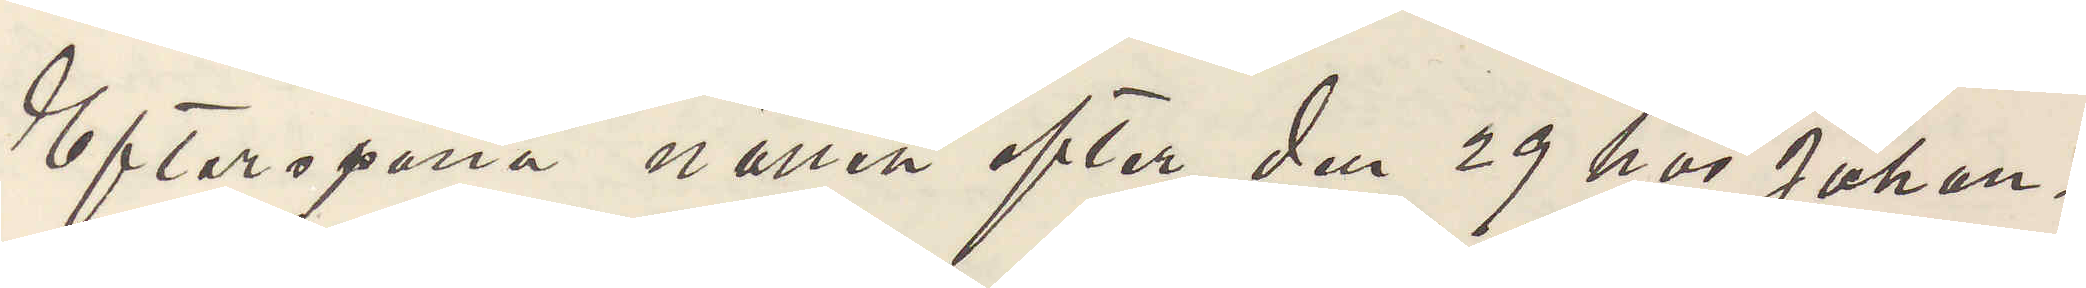Efterspana natten efter den 29 hos Joha¬
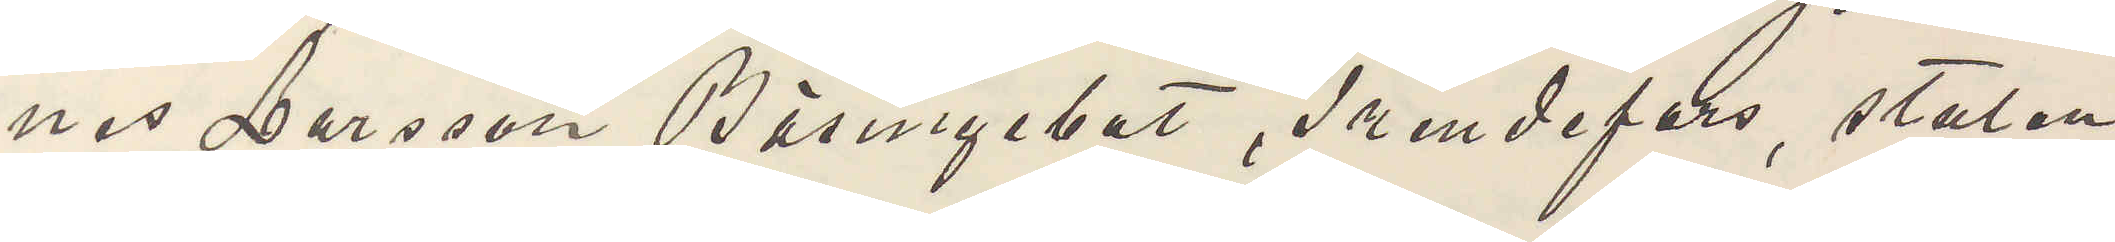nes Larsson Bäsingebol, Frendefors, stulen
